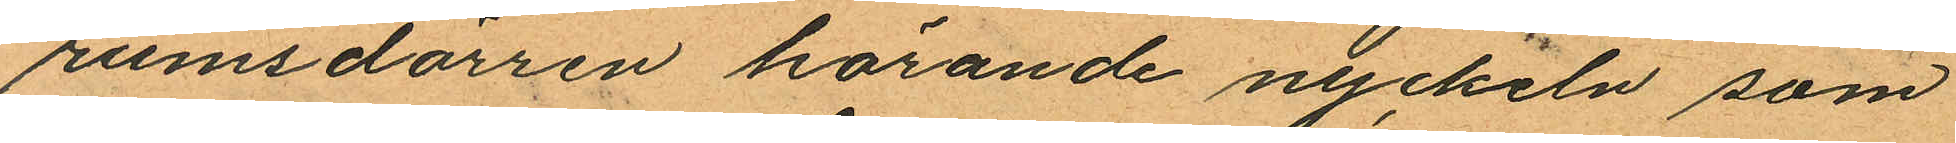rumsdörren hörande nyckeln som
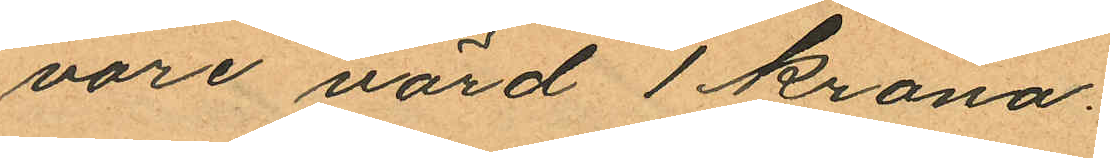vore värd 1 krona.
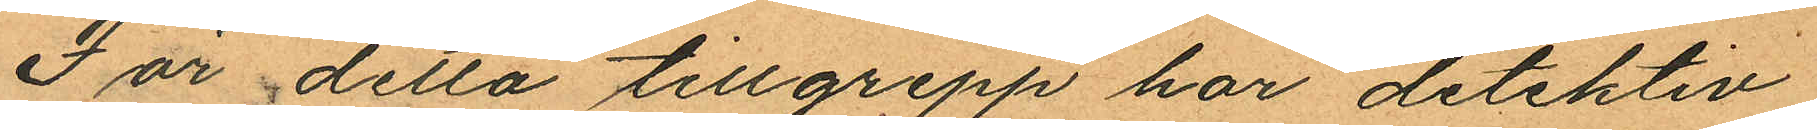För detta tillgrepp har detektiv
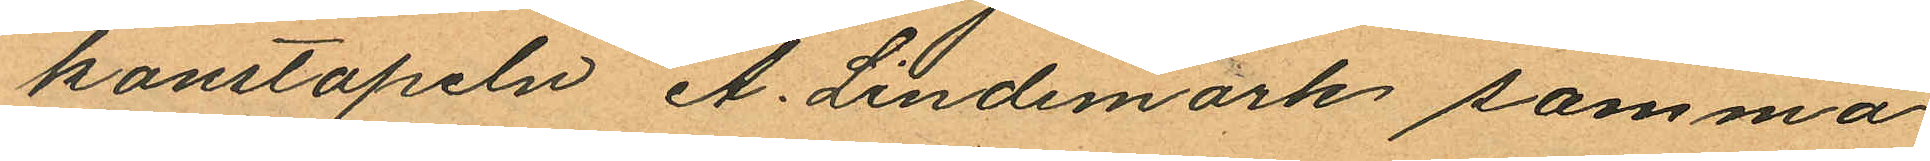konstapeln A. Lindemark samma
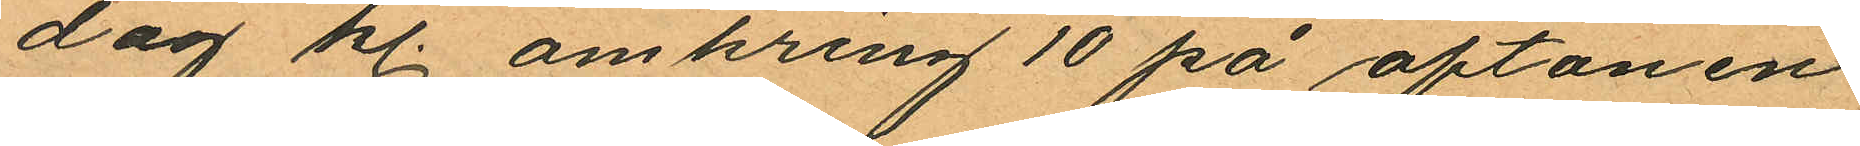dag kl. omkring 10 på aftonen
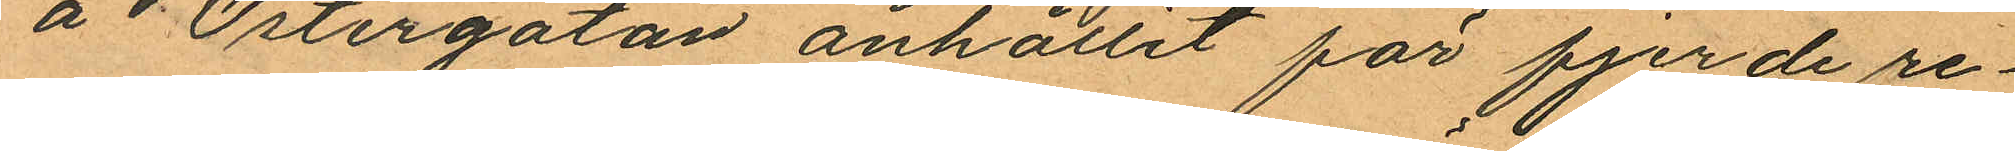å  Östergatan anhållit för fjerde re¬
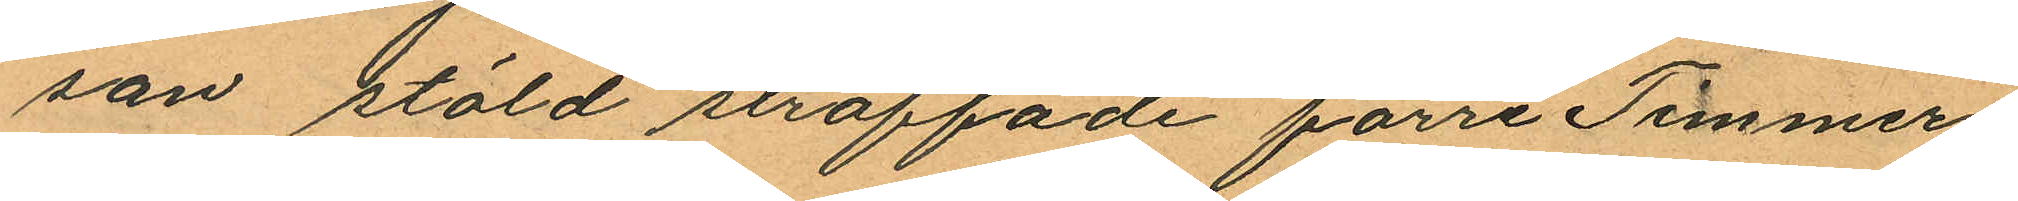san stöld straffade förre Timmer¬
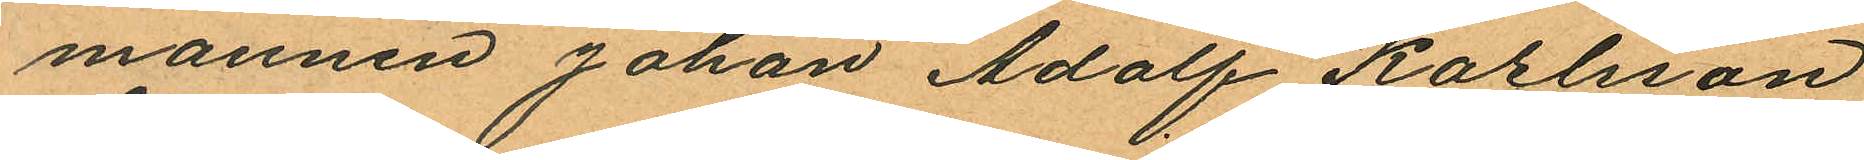mannen Johan Adolf Karlsson
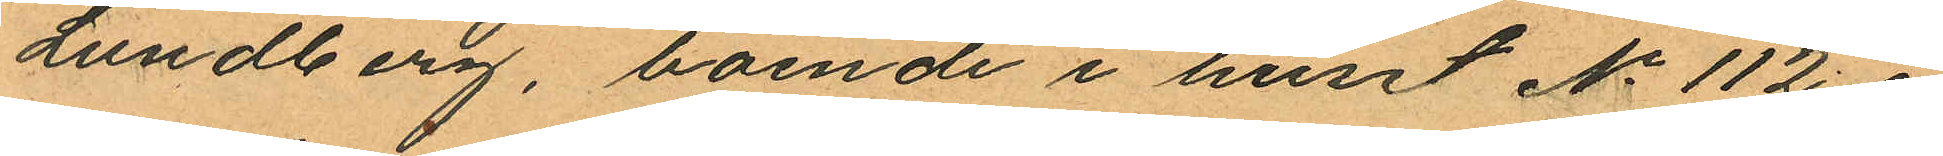Lundberg, boende i huset No 112 i
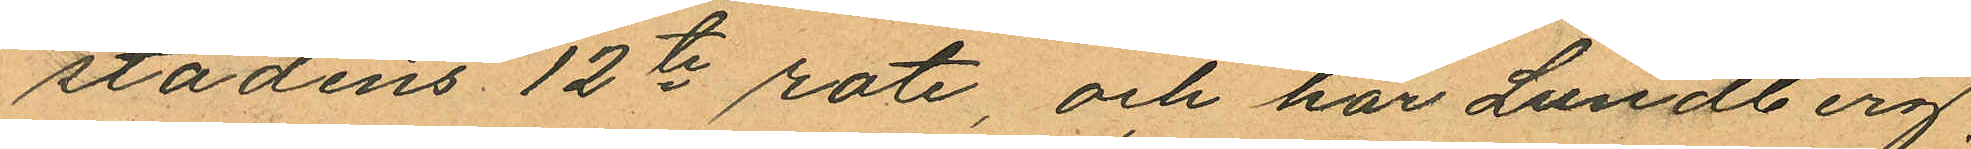stadens 12te rote, och har Lundberg,
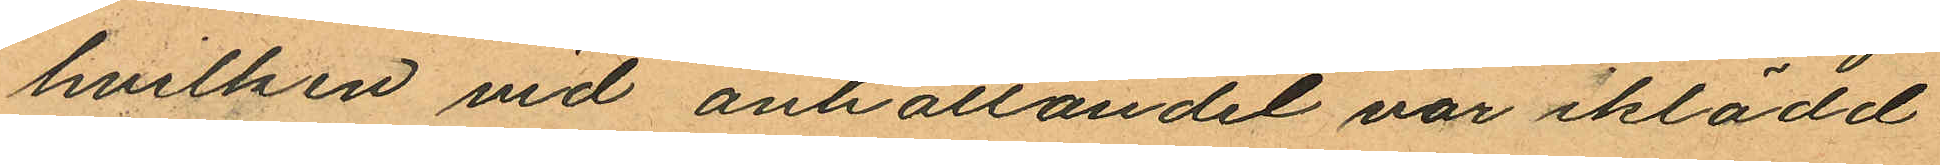hvilken vid anhållandet var iklädd
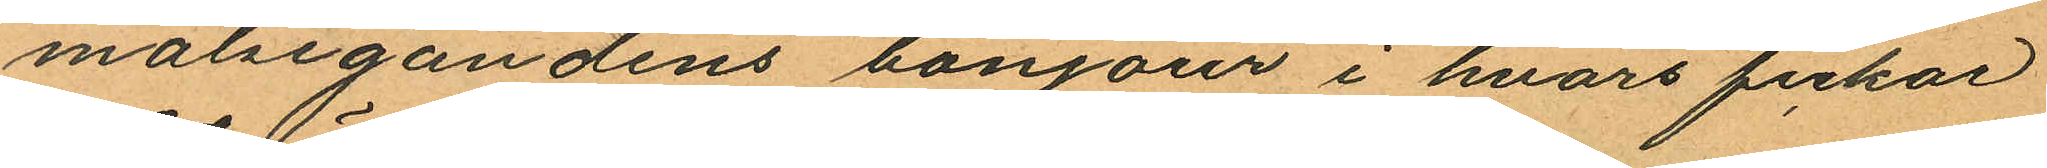målsegandens bonjour i hvars fickor
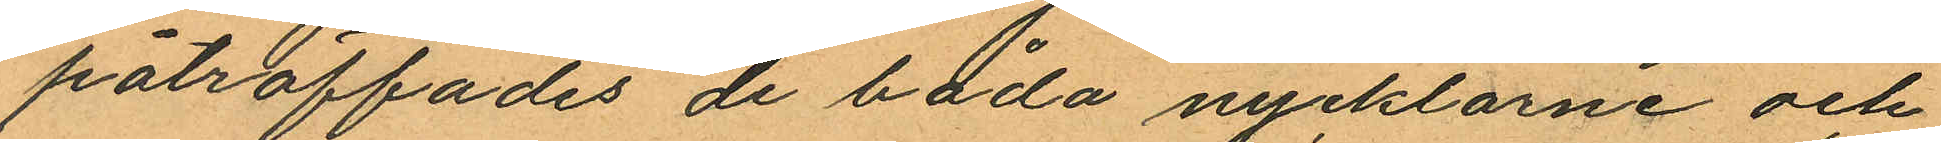påträffades de båda nycklarne och
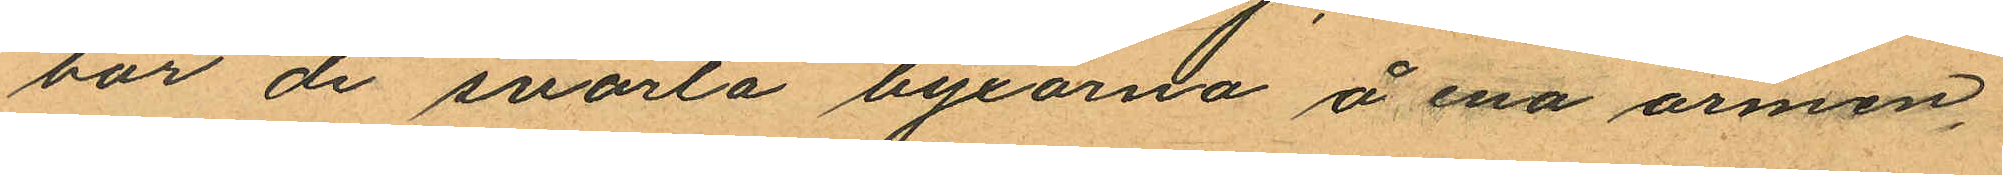bar de svarta byxorna å ena armen,
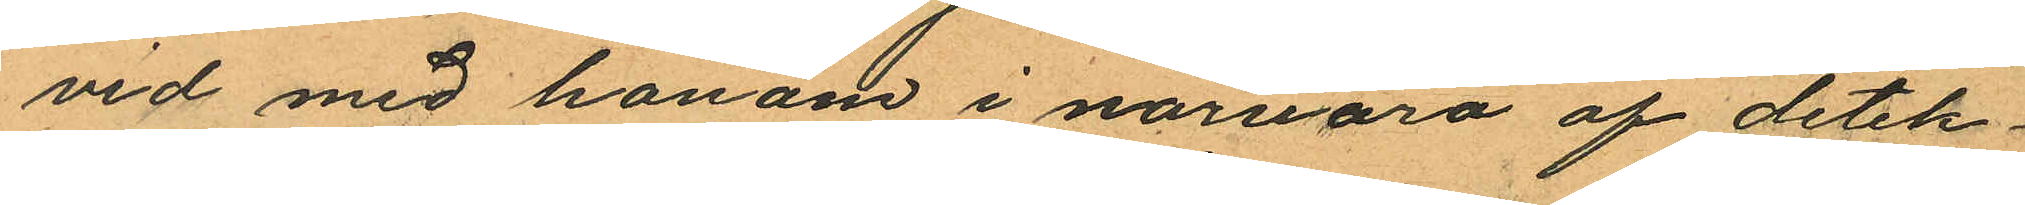vid med honom i närvaro af detek¬
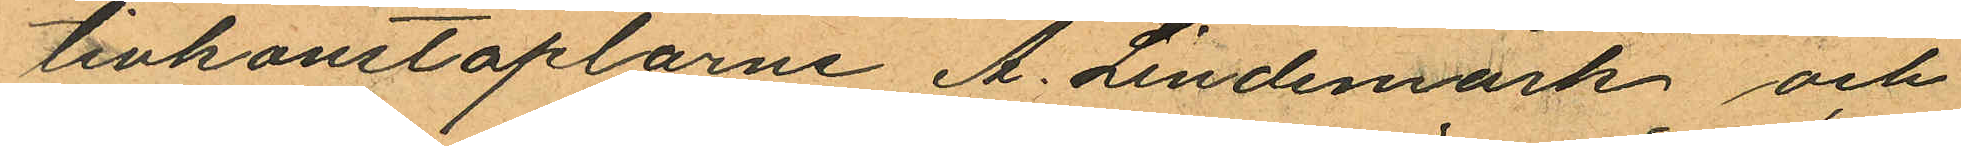tivkonstaplarne A. Lindemark och
